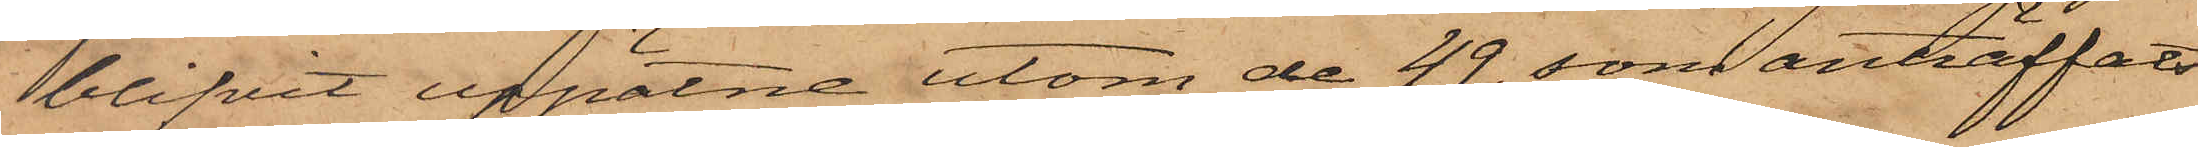blifvit uppätne utom de 49, som anträffats
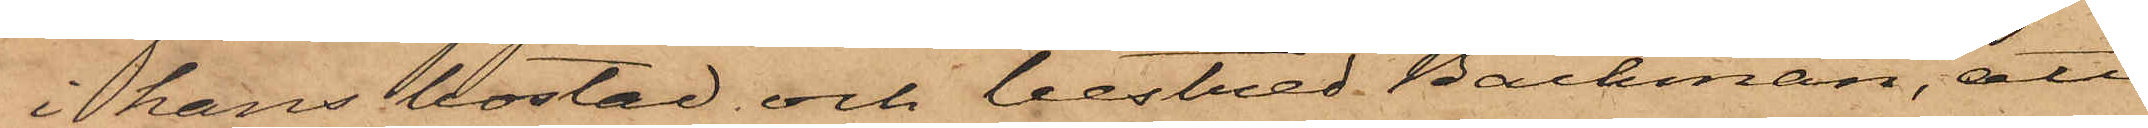i hans bostad och bestred Backman, att
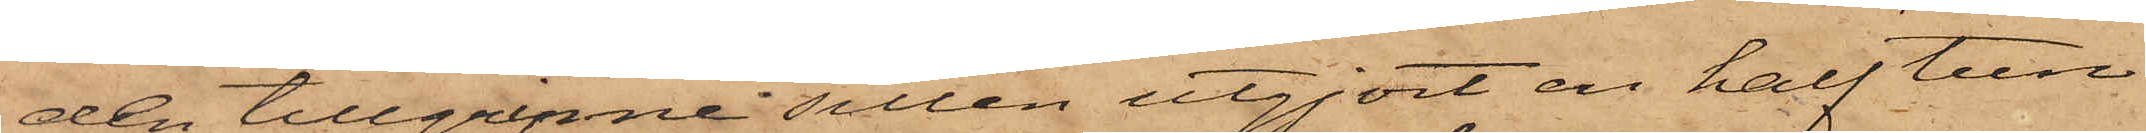den tillgripne sillen utgjort en half tun¬
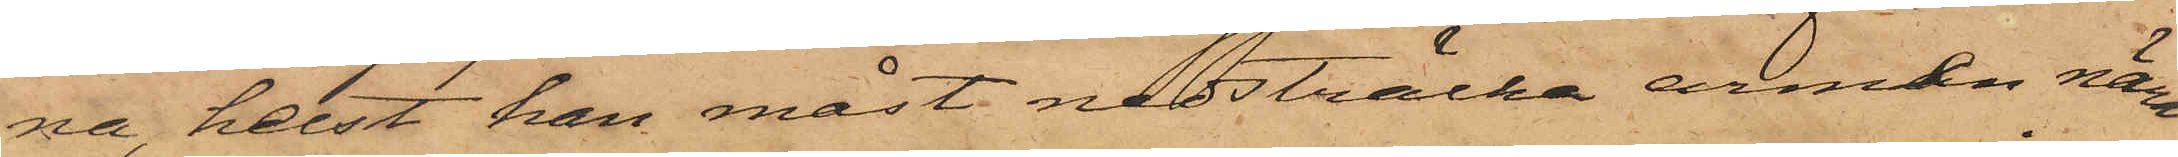na, helst han måst nedsträcka armen nära
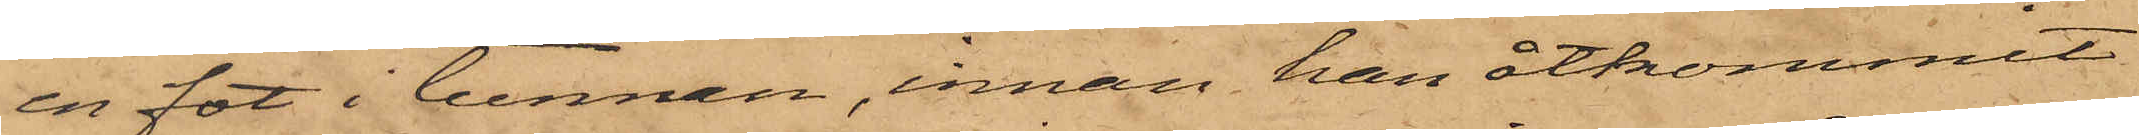en fot i tunnan, innan han åtkommit
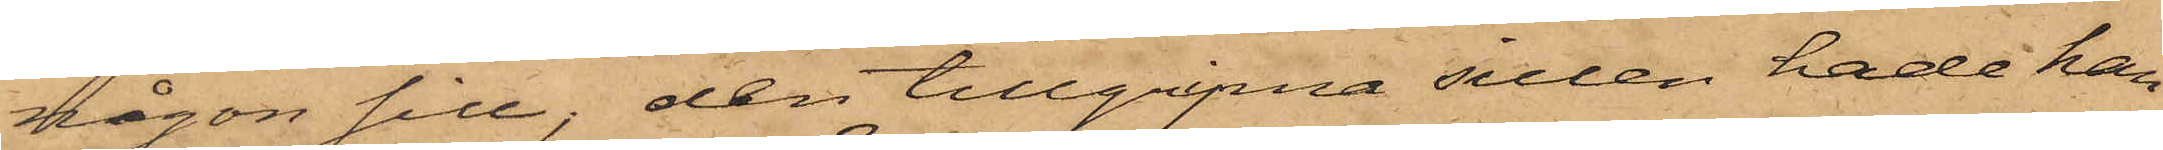någon sill, den tillgripna sillen hade han
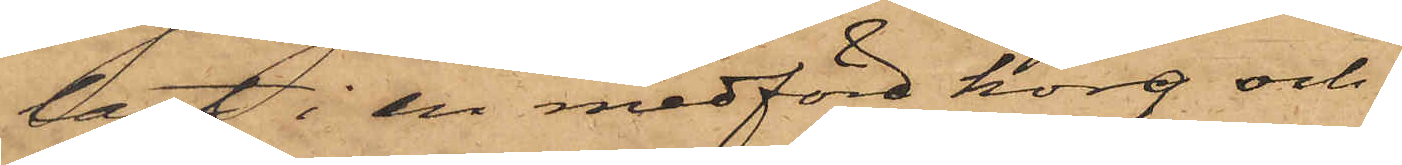lagt i en medförd korg och
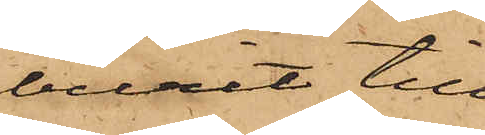burit till
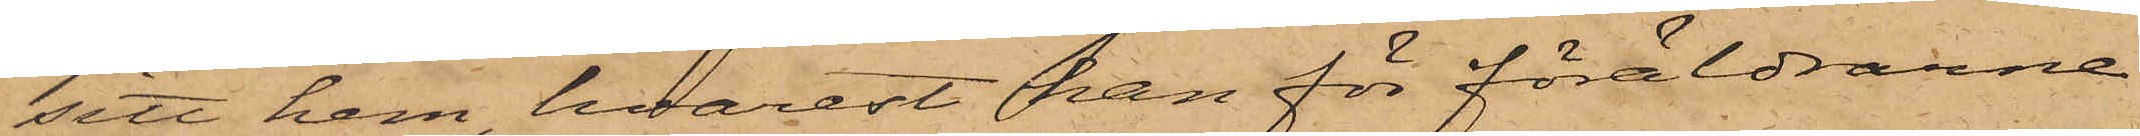sitt hem, hvarest han för föräldrarne
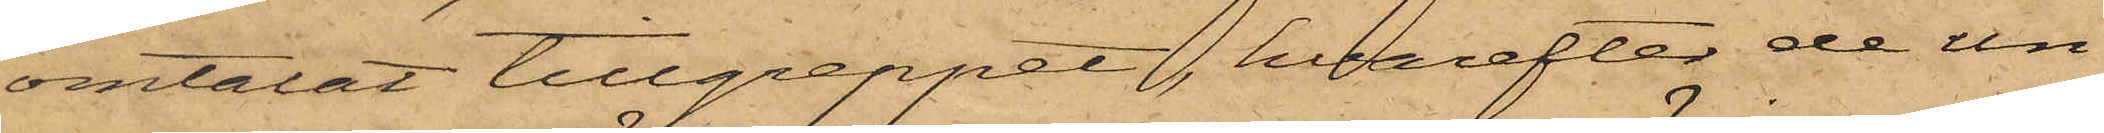omtalat tillgreppet, hvarefter de un¬
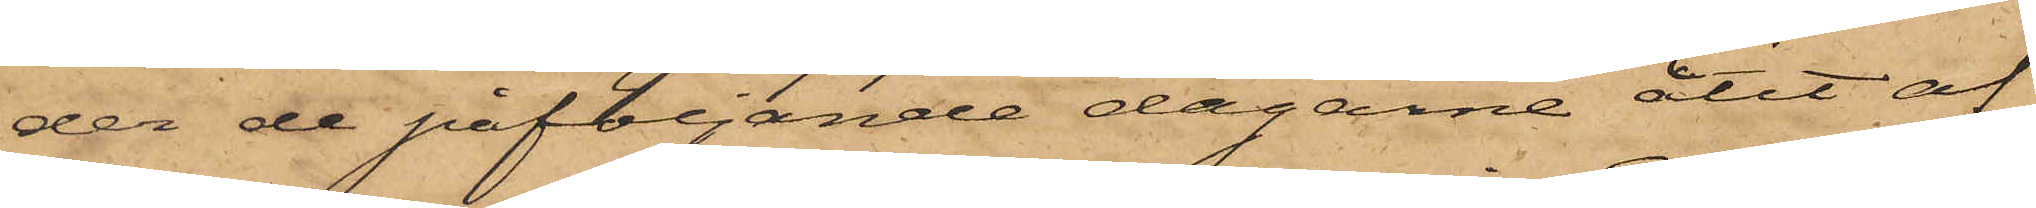der de påföljande dagarne ätit af
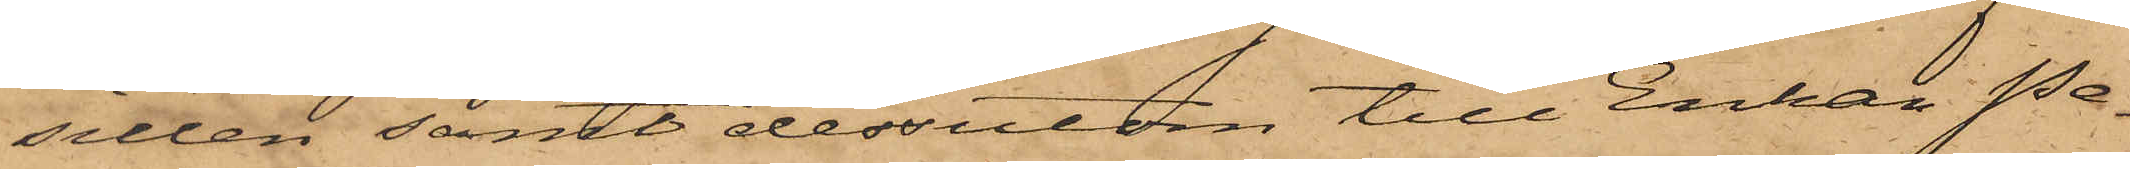sillen samt dessutom till Enkan Pe¬
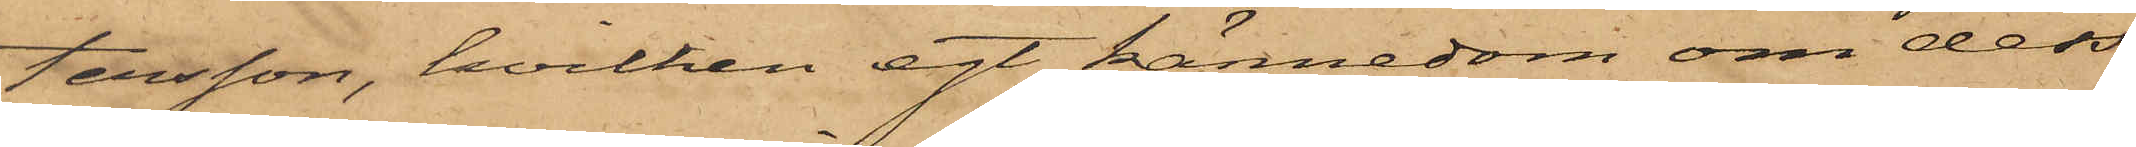tersson, hvilken egt kännedom om dess
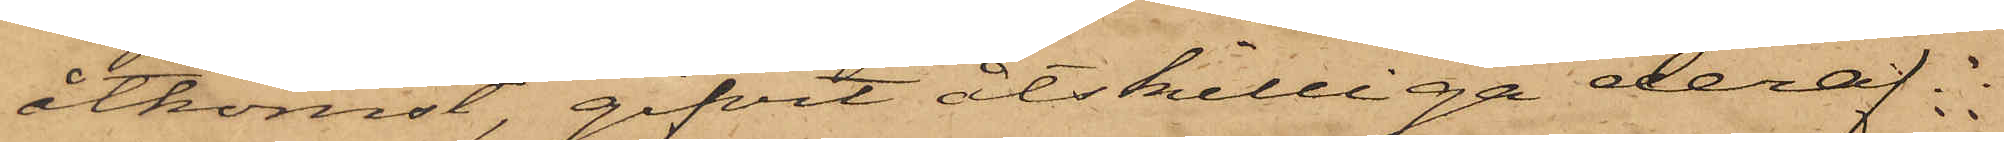åtkomst, gifvit åtskilliga deraf.
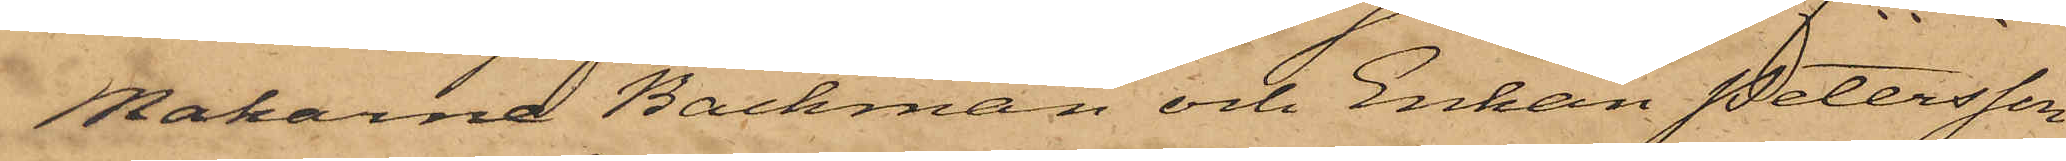Makarna Backman och Enkan Petersson
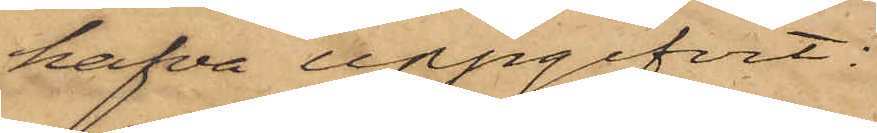hafva uppgifvit:
